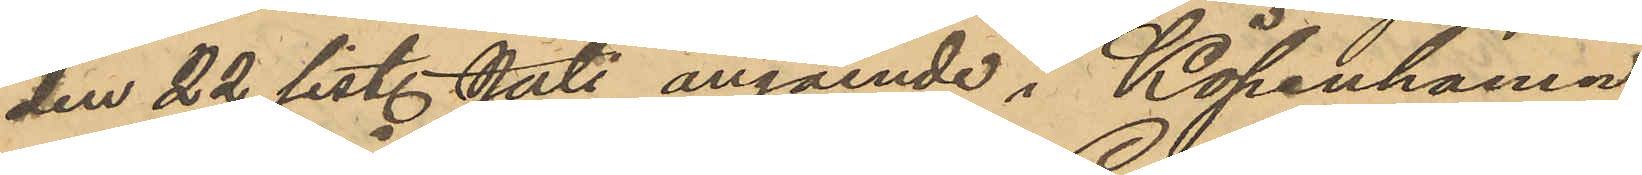den 22 sist. Juli angående i Köpenhamn
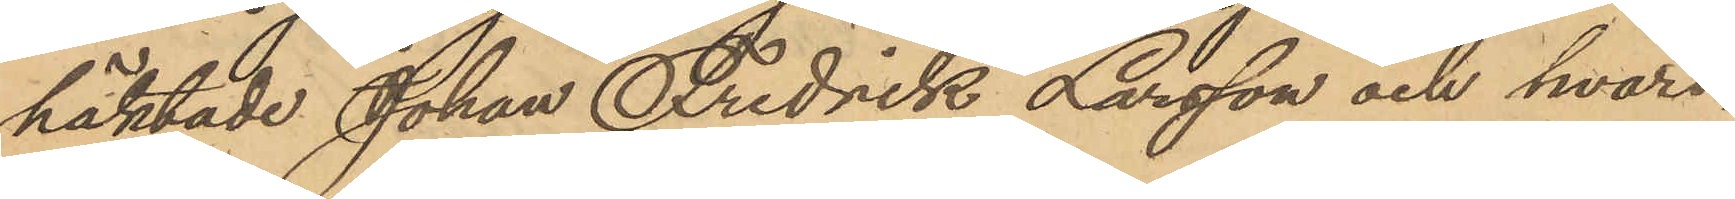häktade Johan Fredrik Larsson och hvari¬
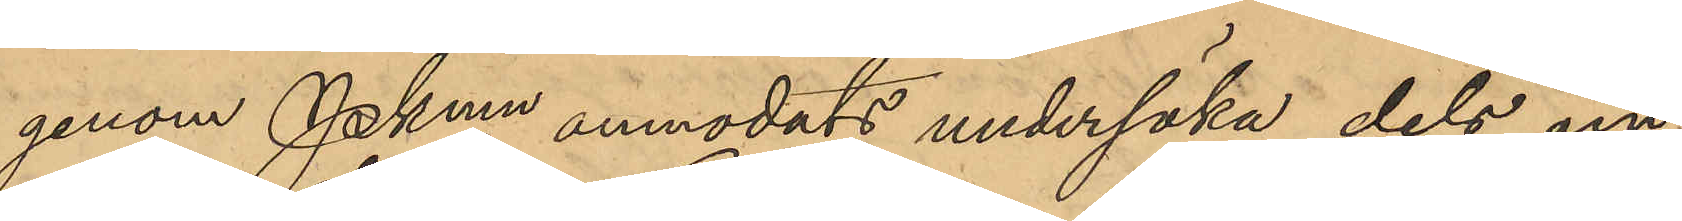genom Pkmn anmodats undersöka dels om
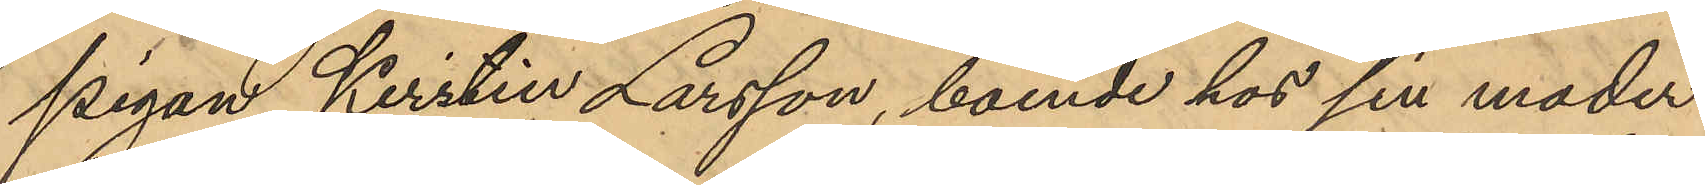pigan Kristin Larsson, boende hos sin moder
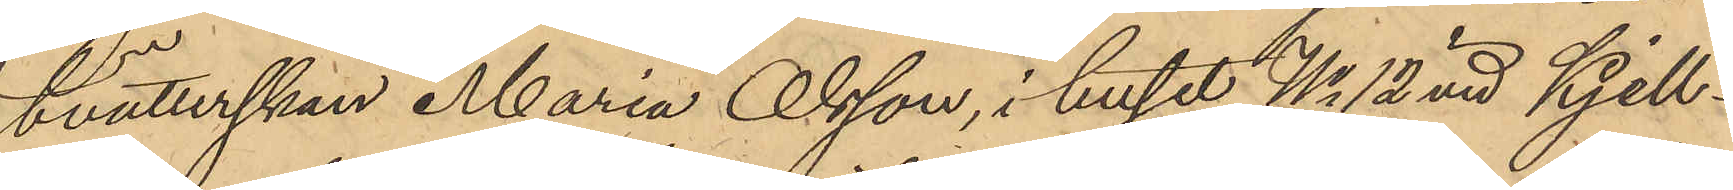tvätterskan Maria Olsson, i huset No 12 vid Kjell¬
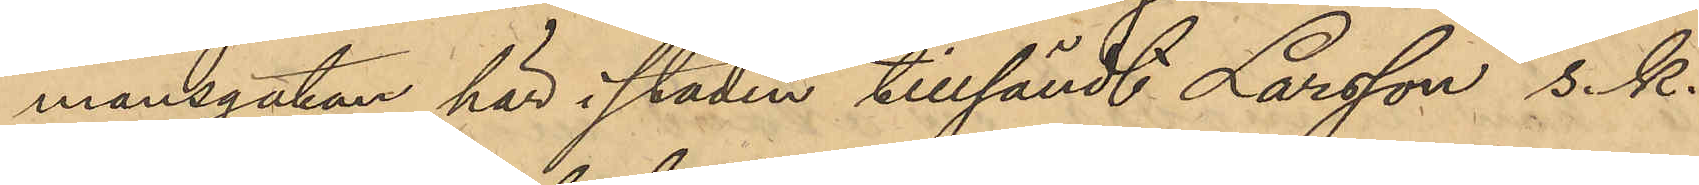mansgatan här i staden tillsändt Larsson s.k.
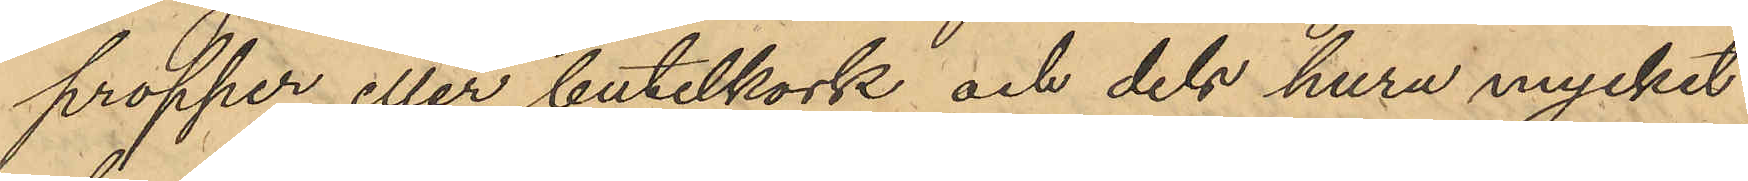propper eller butelkork och dels huru mycket
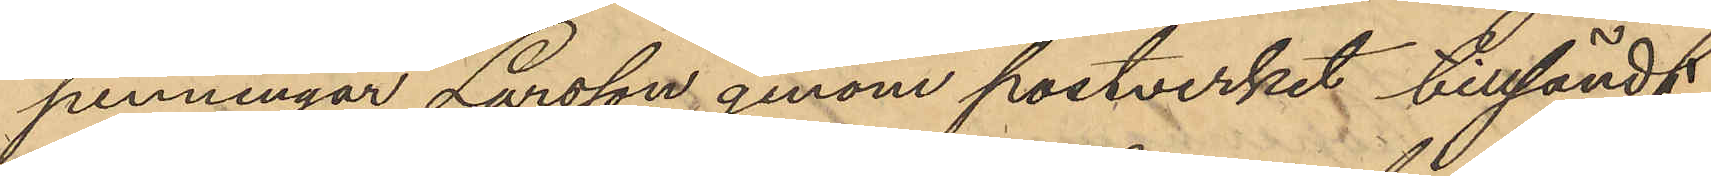penningar Larsson genom postverket tillsändt
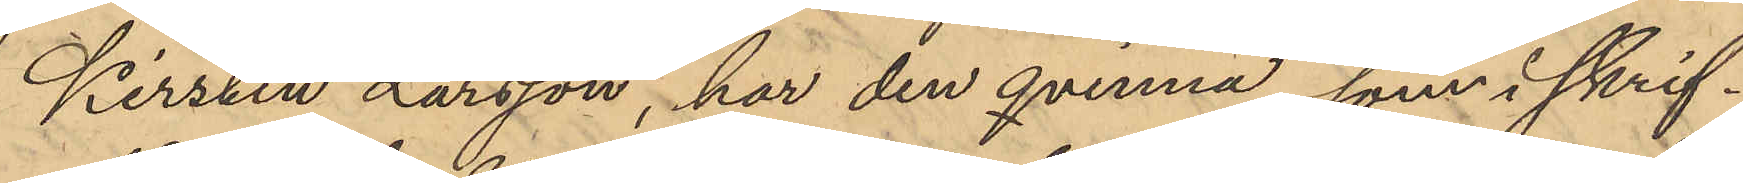Kirstin Larsson, har den qvinna, som i skrif¬
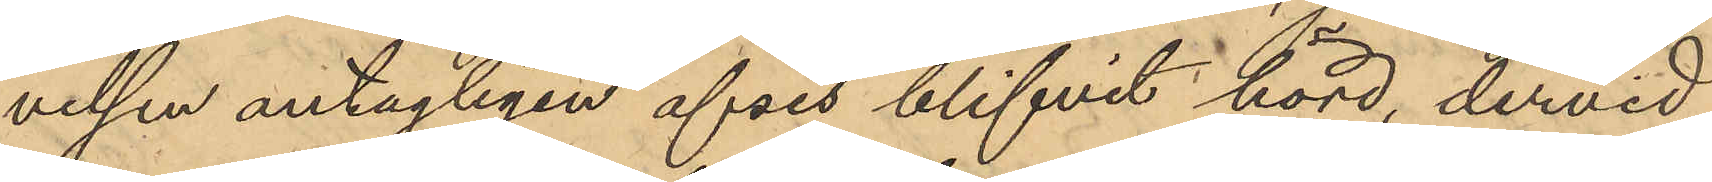velsen antagligen afses blifvit hörd, dervid
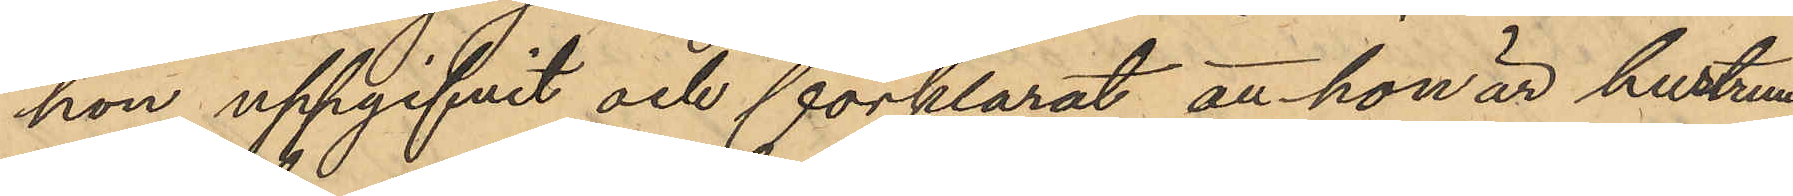hon uppgifvit och förklarat, att hon är hustrun
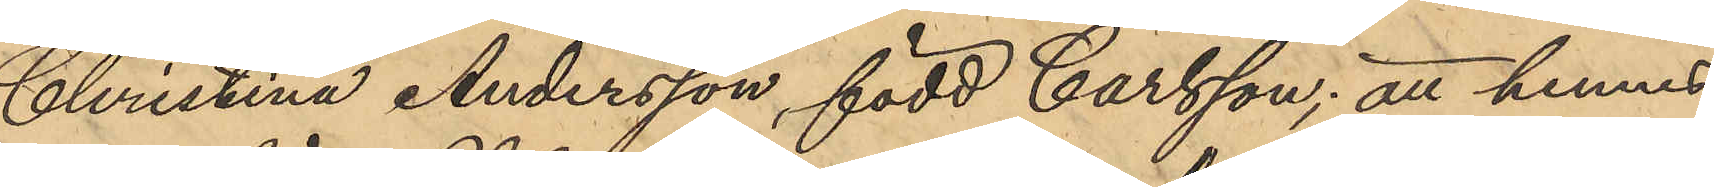Christina Andersson, född Carlsson; att hennes
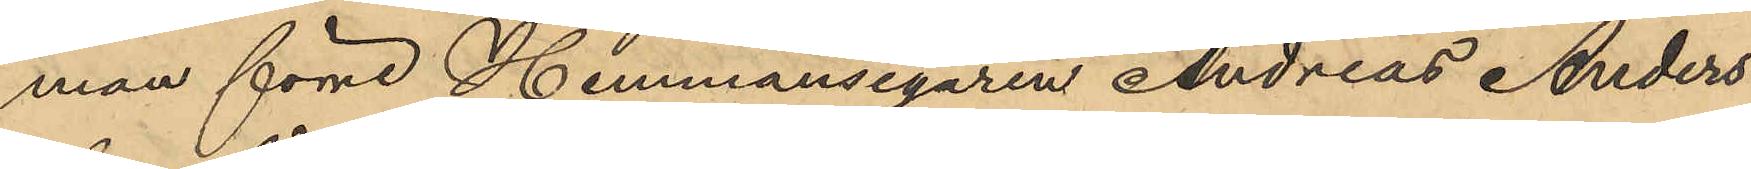man förre Hemmansegaren Andreas Anders
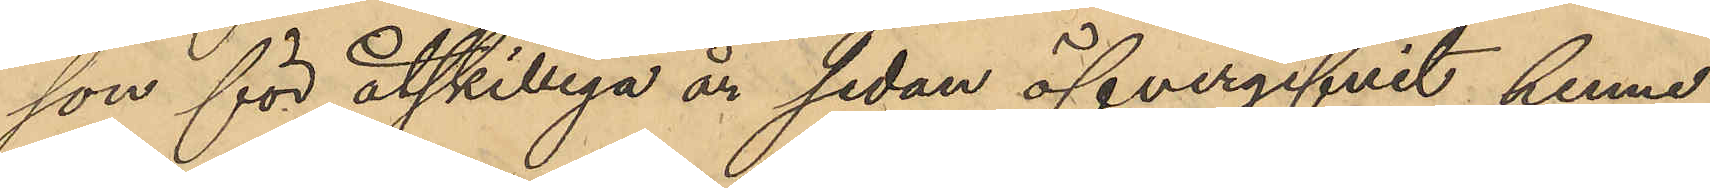son för åtskilliga år sedan öfvergifvit henne;
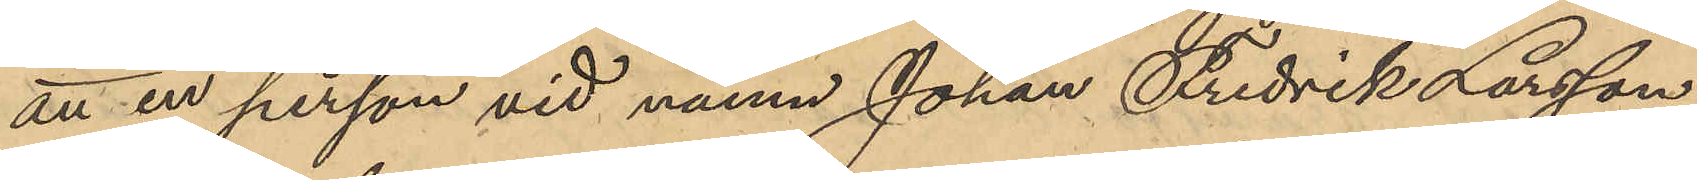att en person vid namn Johan Fredrik Larsson
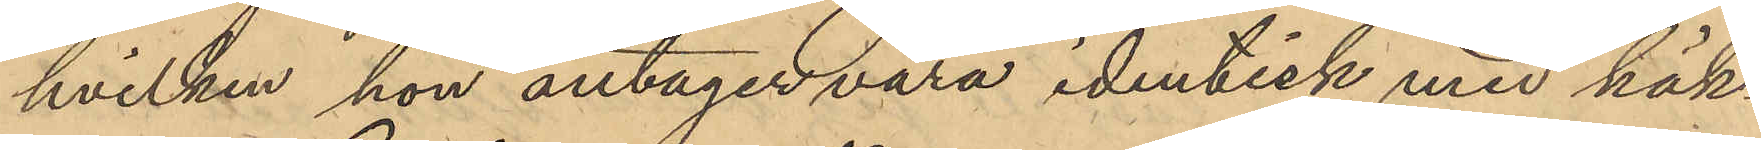hvilken hon antager vara identisk med häk¬
